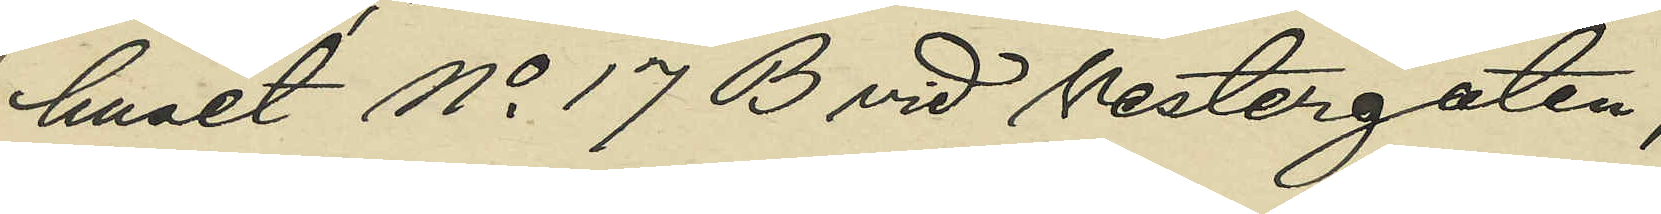huset No 17 B vid Vestergatan;
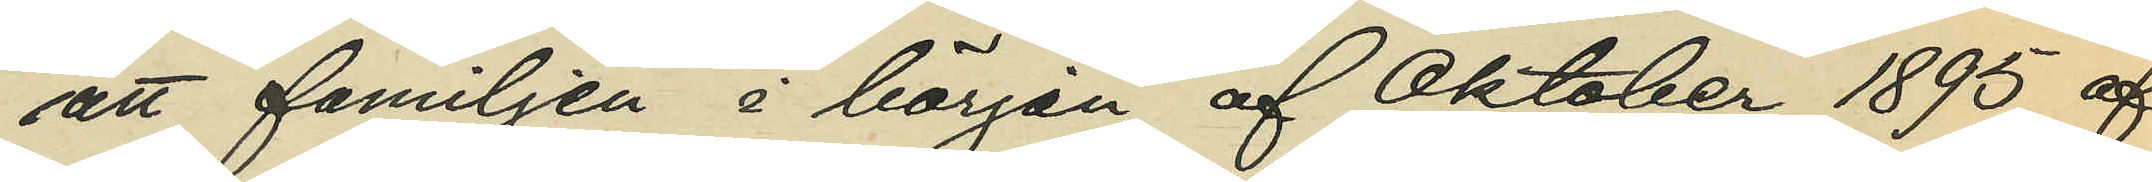att familjen i början af Oktober 1895 af¬
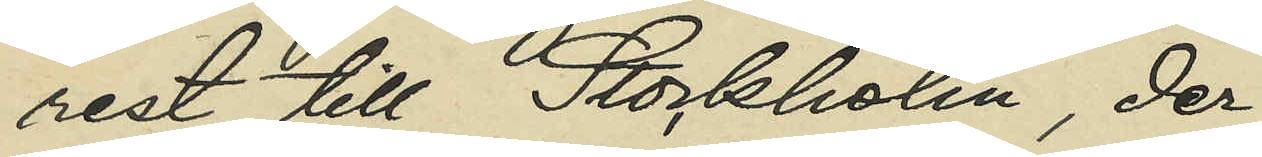rest till Stockholm, der
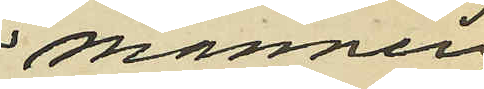mannen
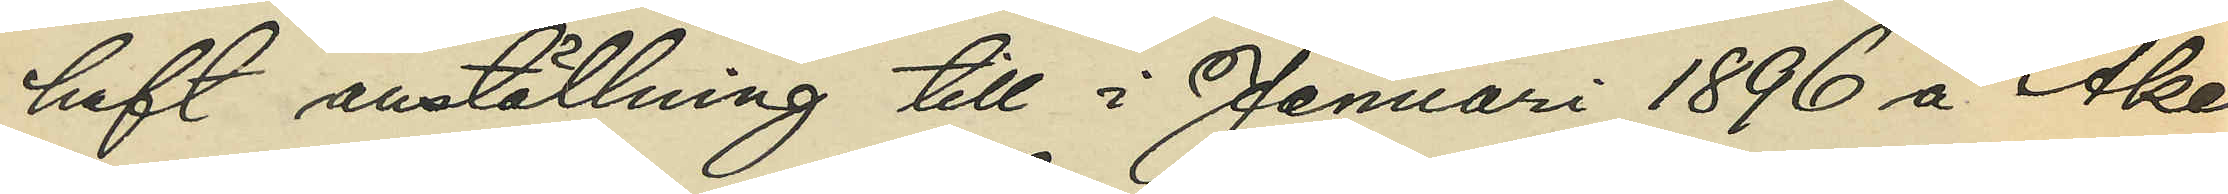haft anställning till i Januari 1896 å Åker¬
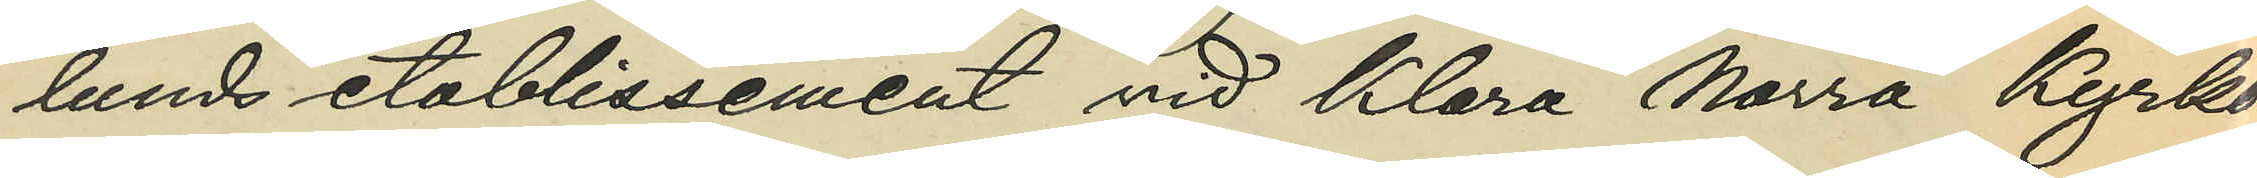lunds etablissement vid Klara Norra Kyrko¬
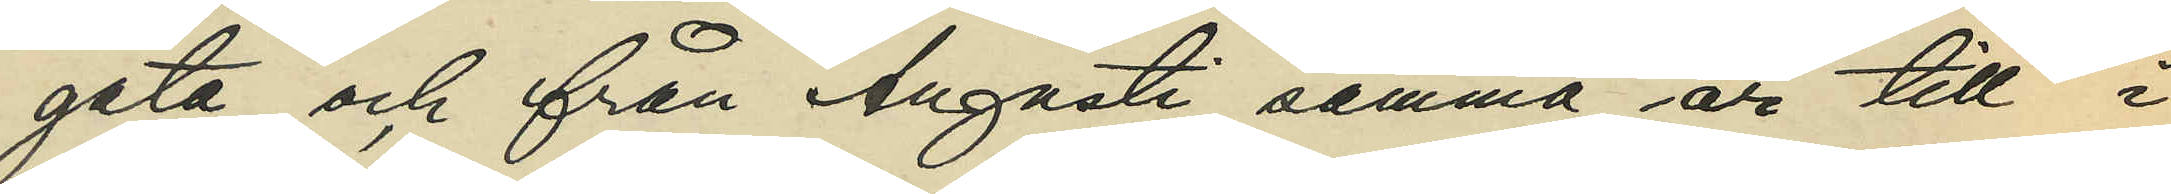gata och från Augusti samma år till i
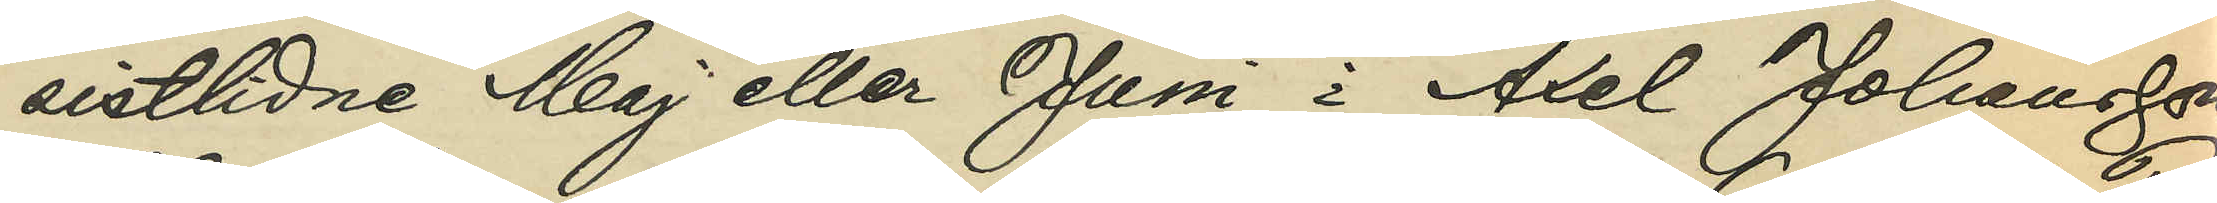sistlidne Maj eller Juni i Axel Johanssons
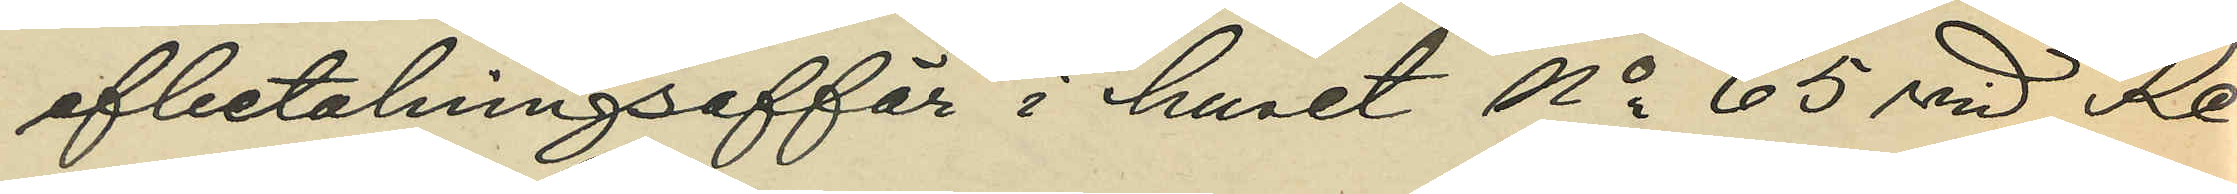afbetalningsaffär i huset No 65 vid Re¬
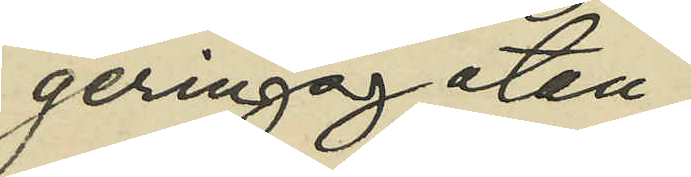geringsgatan;
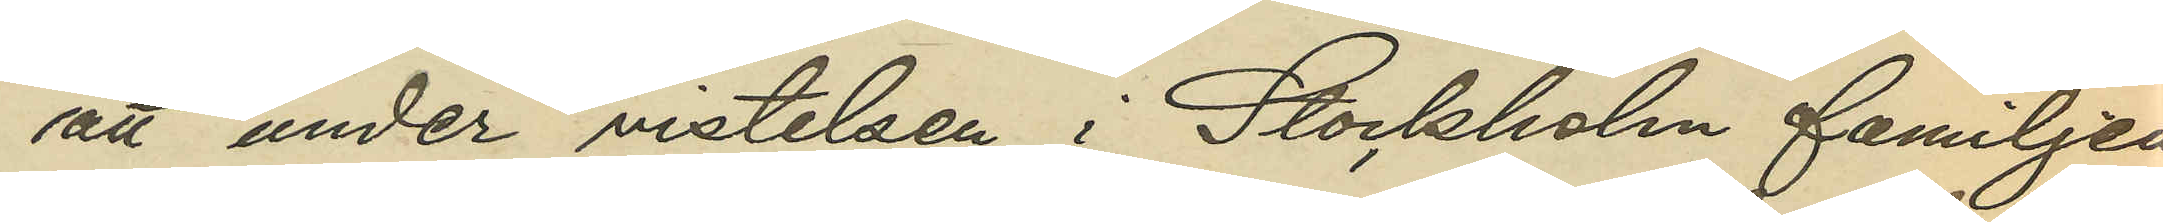att under vistelsen i Stockholm familjen
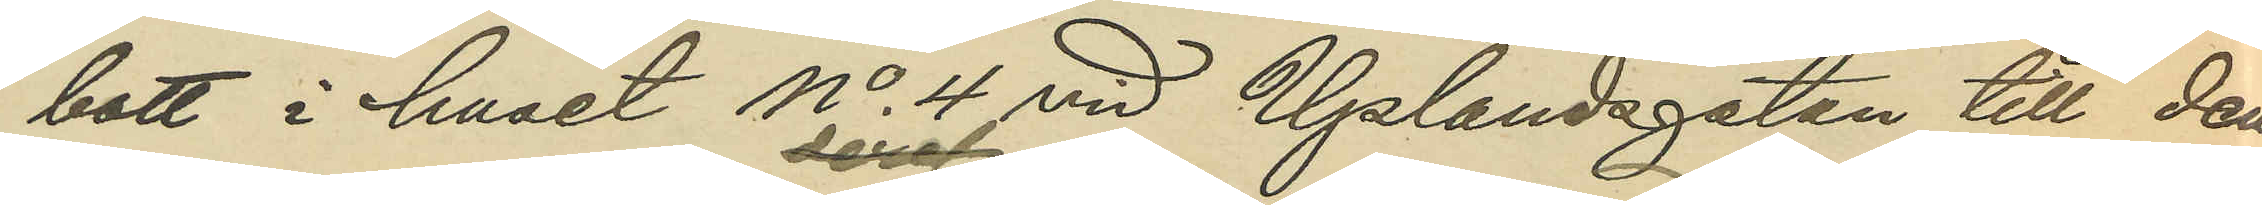bott i huset No 4 vid Uplandsgatan till den
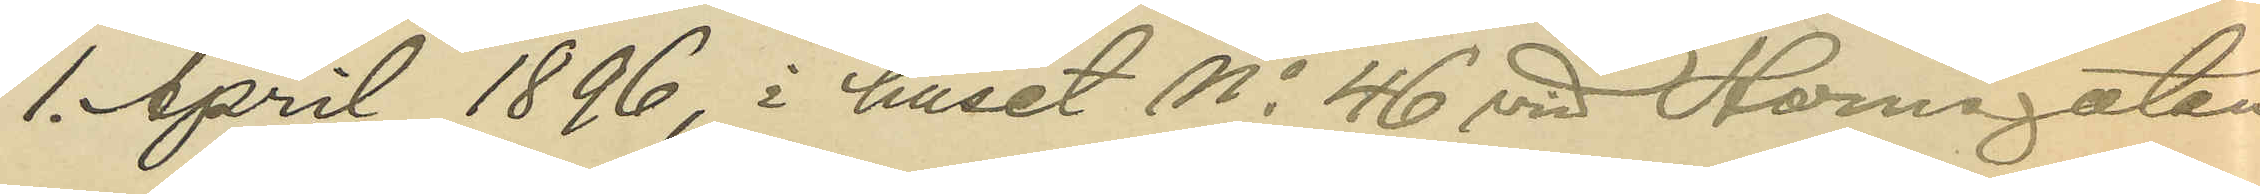1. April 1896, i huset No 46 vid Hornsgatan
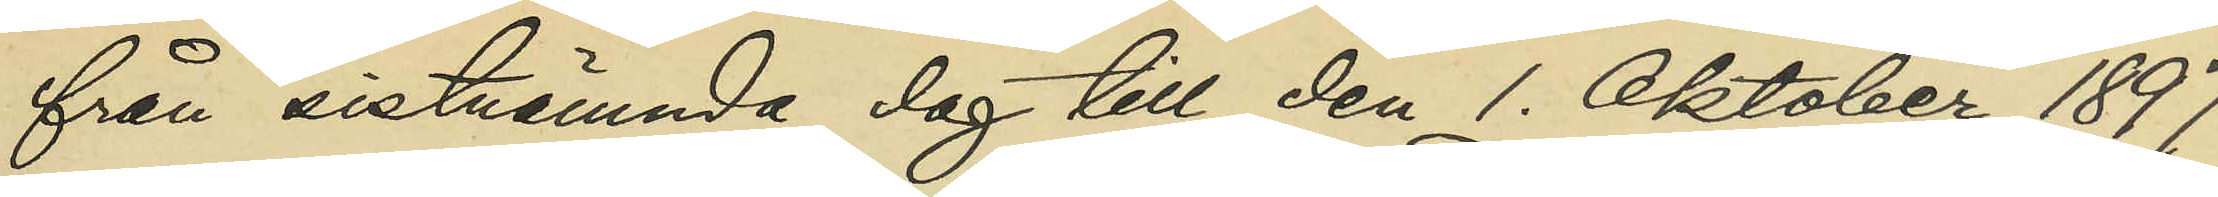från sistnämnda dag till den 1. Oktober 1897
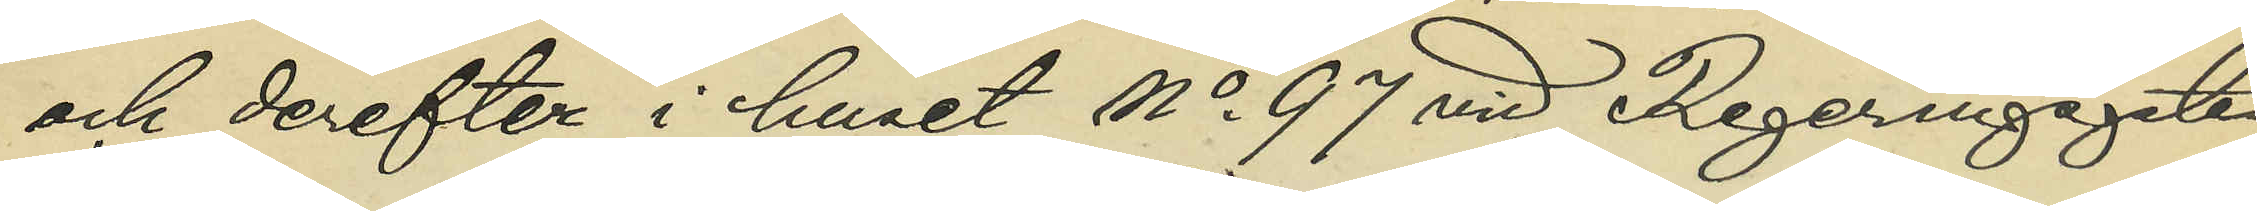och derefter i huset No 97 vid Regeringsgatan
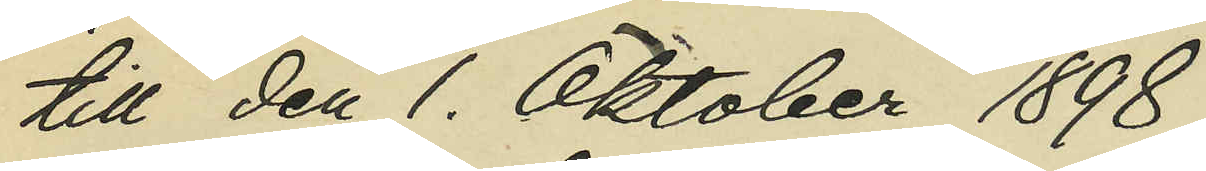till den 1. Oktober 1898;
